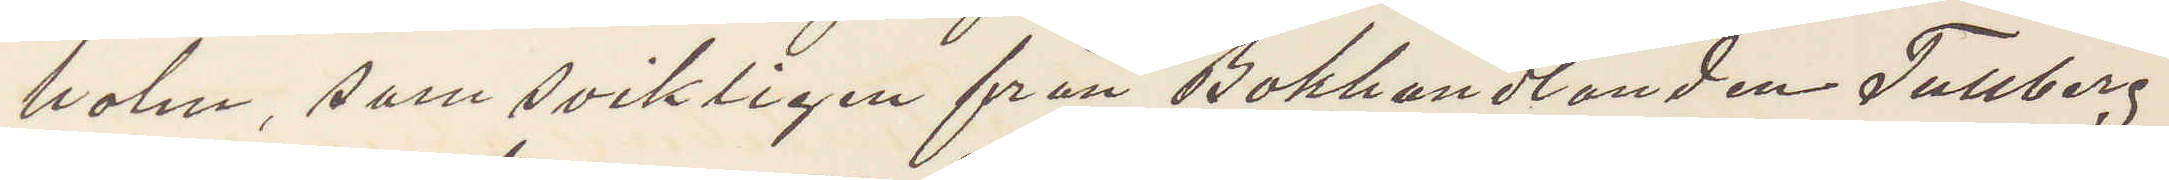holm, som svikligen från Bokhandlanden Tullberg
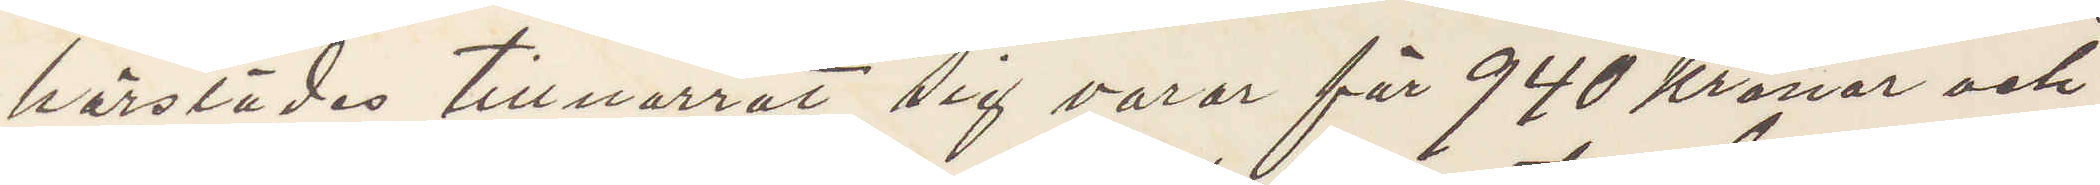härstädes tillnarrat sig varor för 940 kronor och
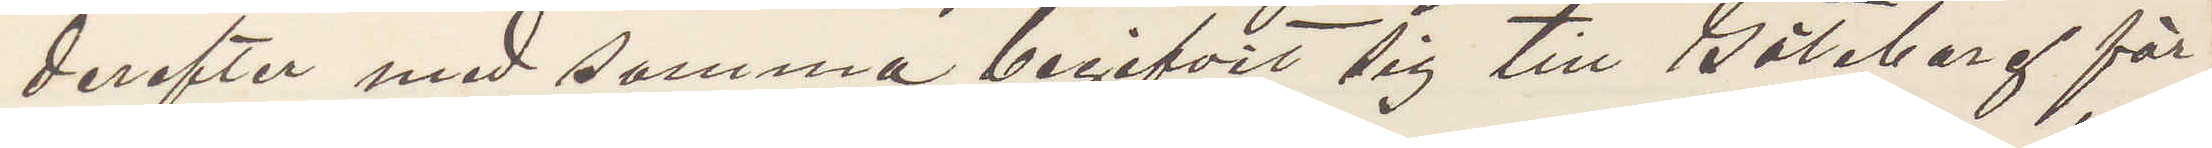derefter med samma begifvit sig till Göteborg för
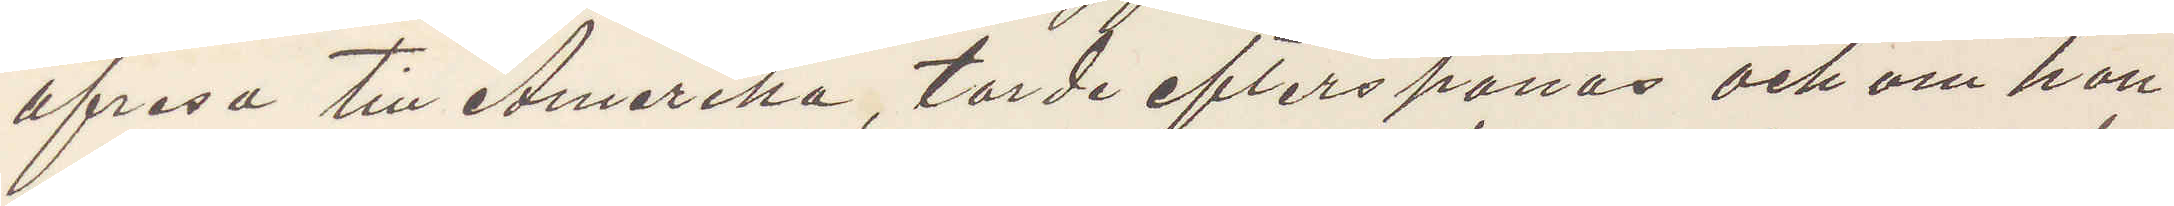afresa till Amerika, torde efterspanas och om hon
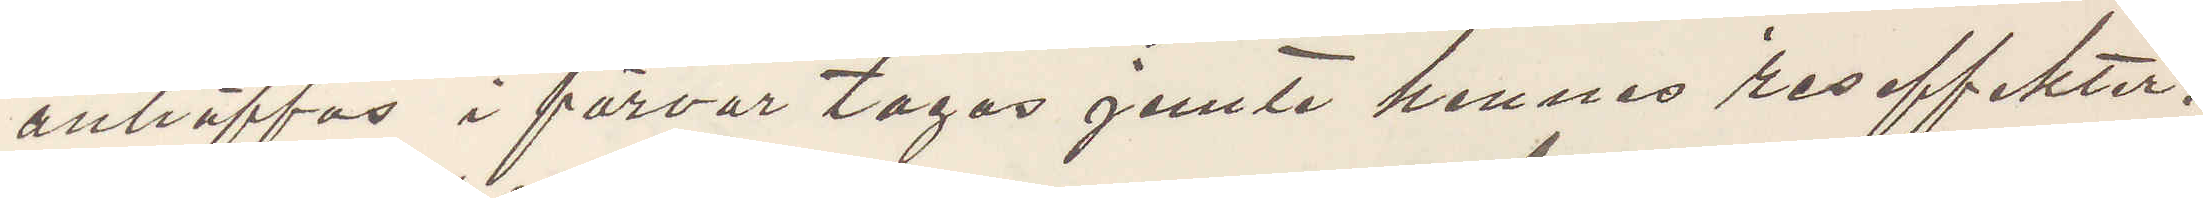anträffas i förvar tagas jemte hennes reseffekter.
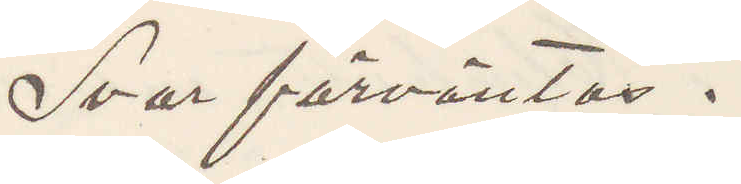Svar förväntas.
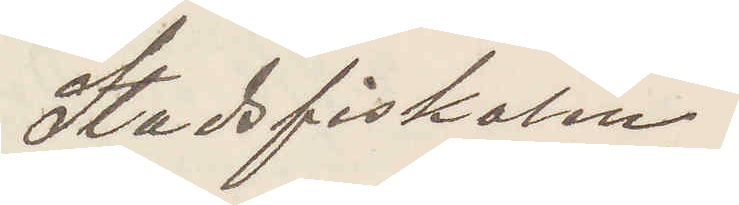Stadsfiskalen.
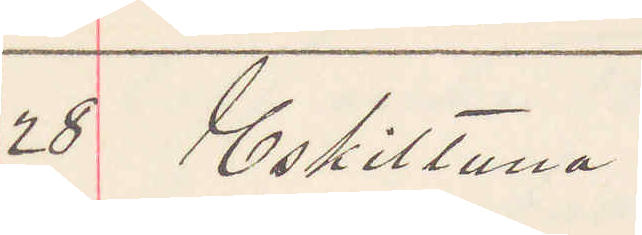28 Eskilstuna.
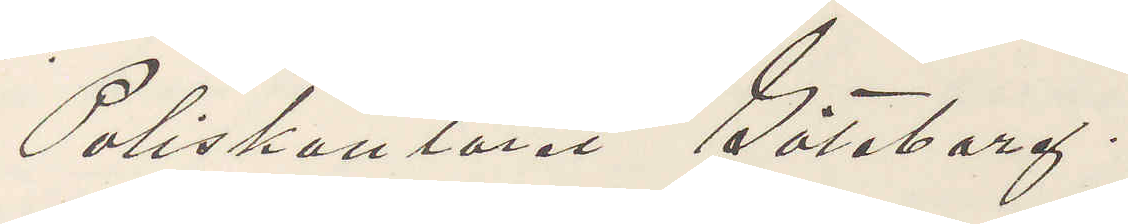Poliskontoret Göteborg.
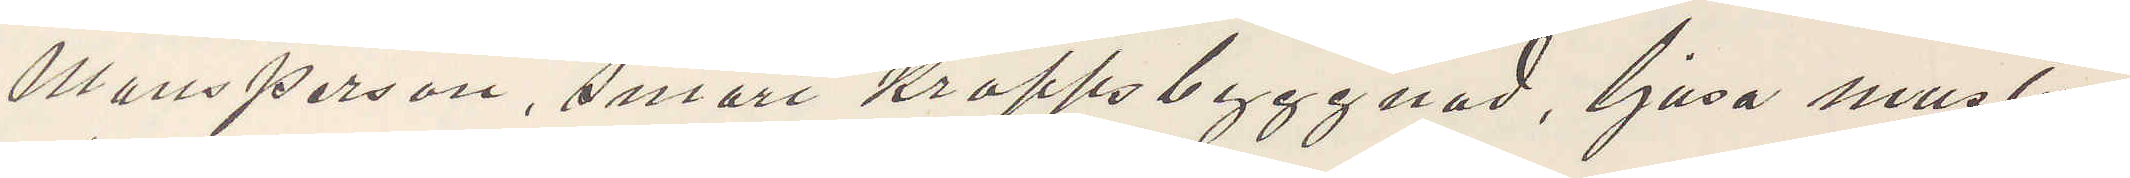Mansperson, smärt kroppsbyggnad, ljusa musta¬
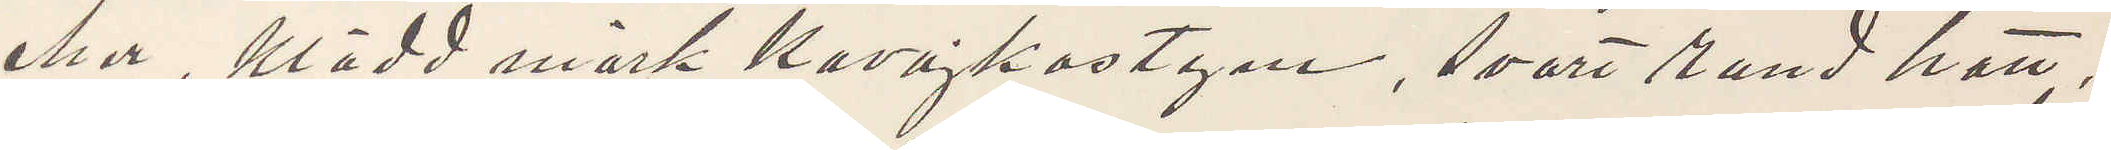cher, klädd mörk Kavajkostym, svart rund hatt,
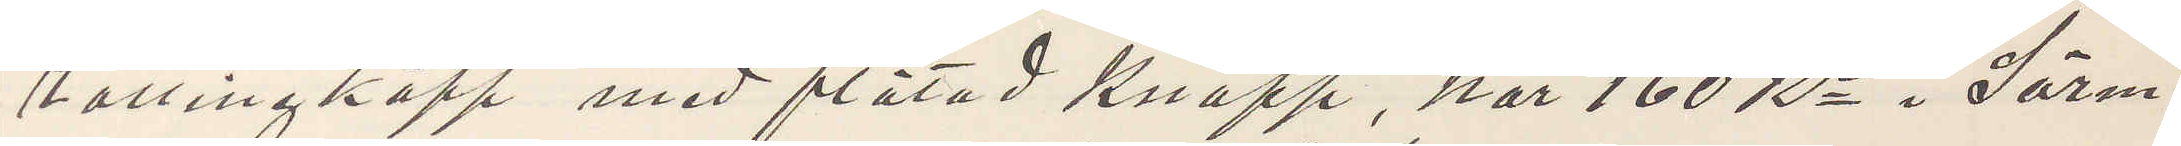rottingkäpp med flätad knapp, har 160 Kr i Sörm¬
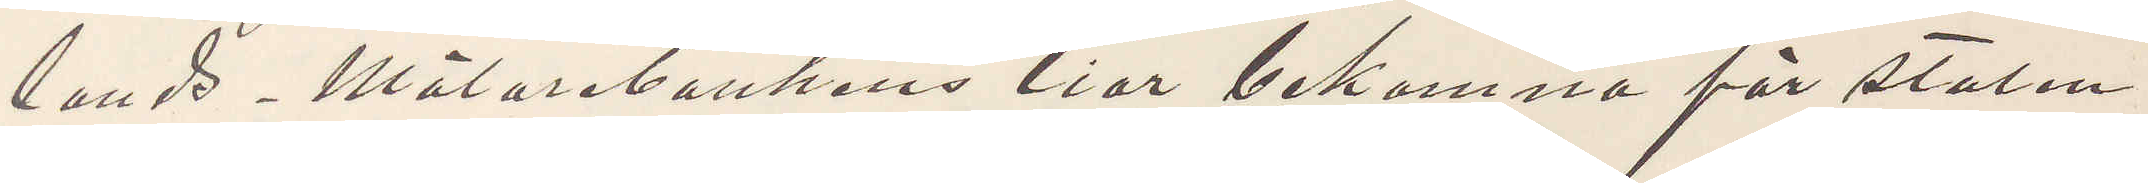lands Mälarebankens tior bekomna för stulen
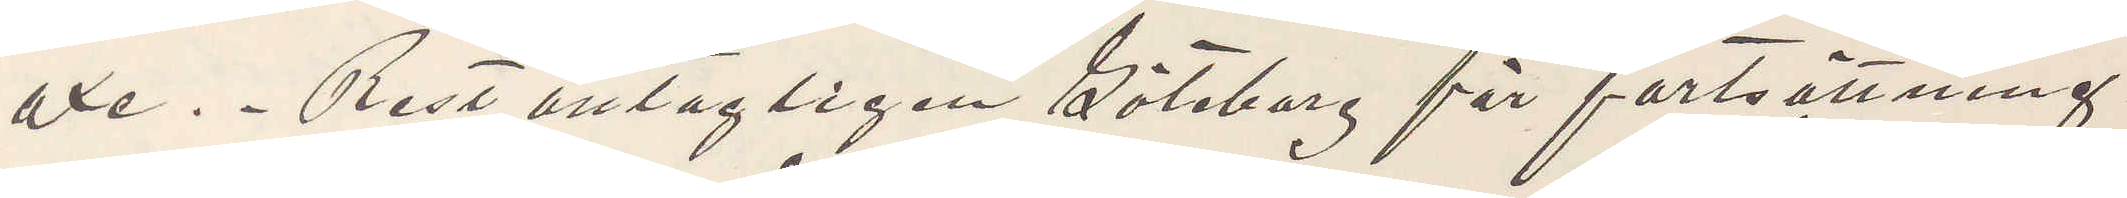oxe. Rest antagligen Göteborg för fortsättning
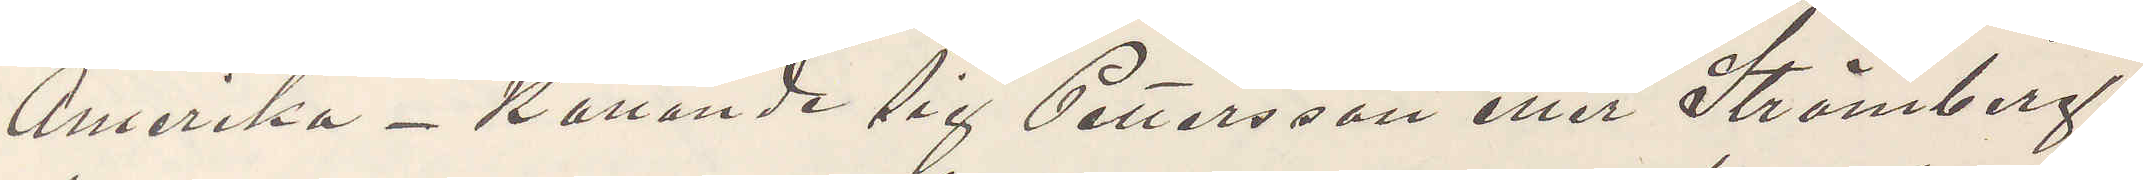Amerika - kallande sig Pettersson eller Strömberg,
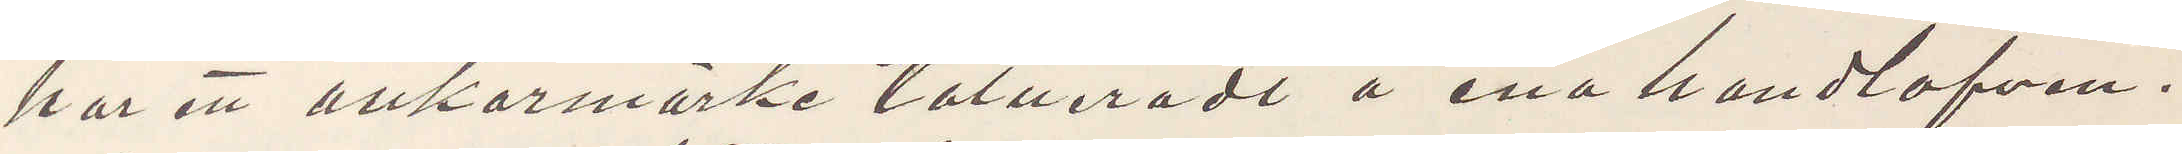har ett ankarmärke tatueradt å ena handlofven.
